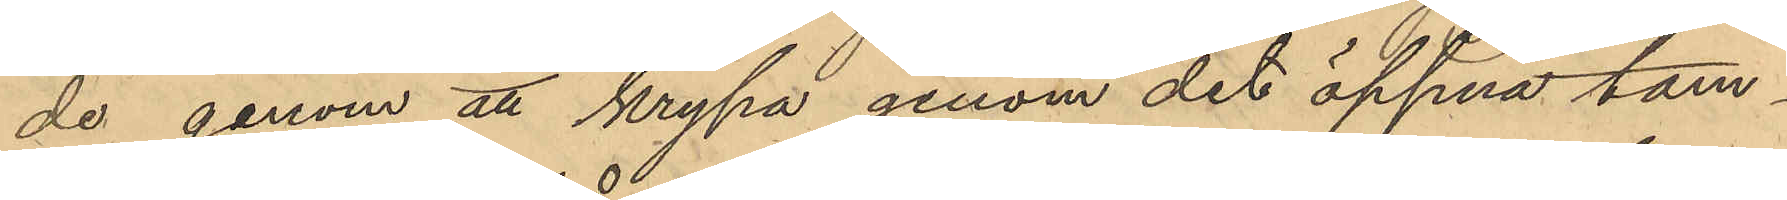de genom att krypa genom det öppna tam¬
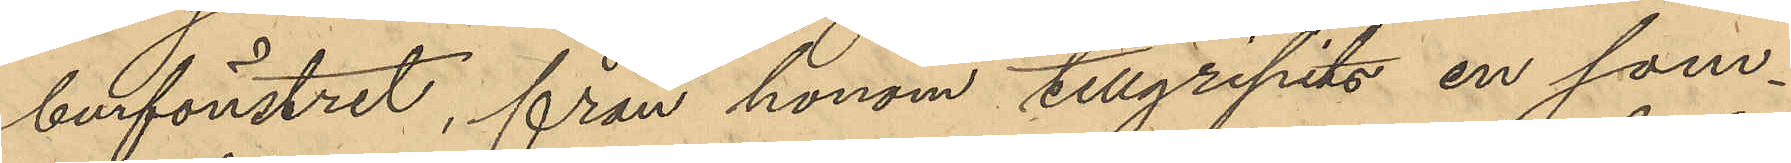burfönstret, från honom tillgripits en som¬
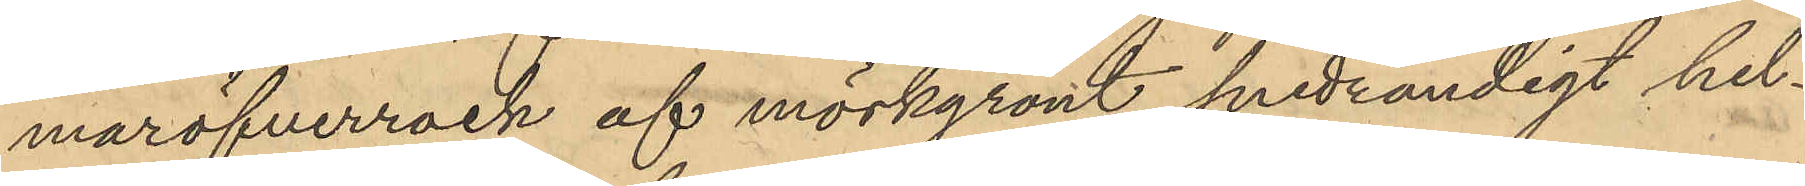maröfverrock af mörkgrönt snedrandigt hel¬
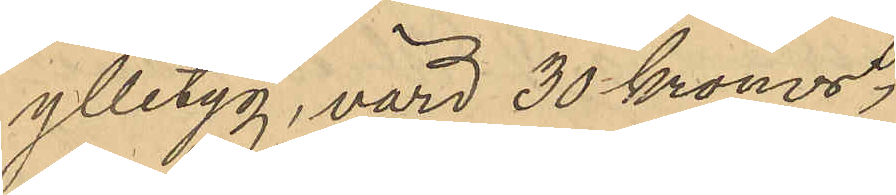ylletyg, värd 30 kronor;
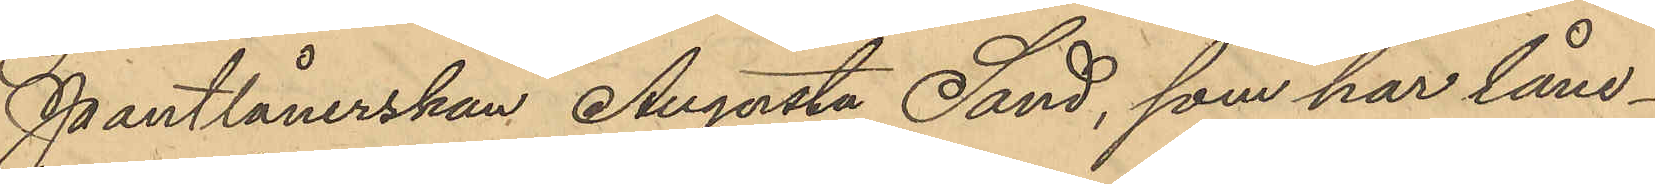Pantlånerskan Augusta Sand, som har låne¬
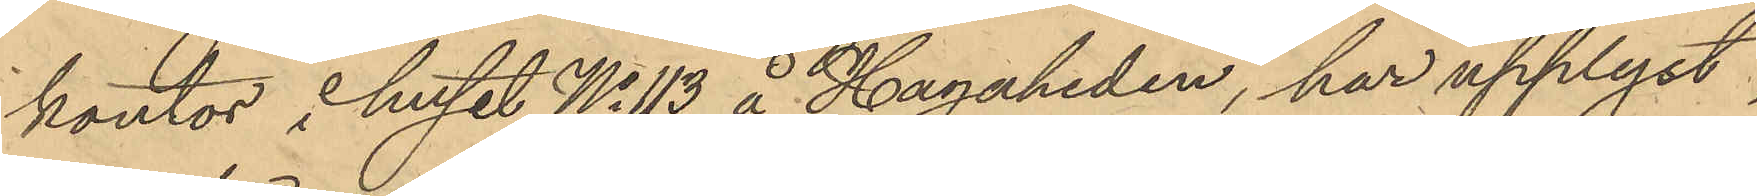kontor i huset No 13 å Hagaheden, har upplyst,
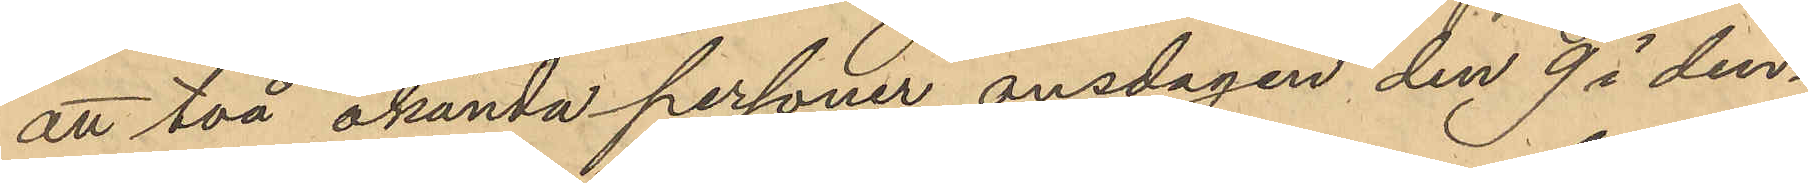att två okända personer onsdagen den 9 i den¬
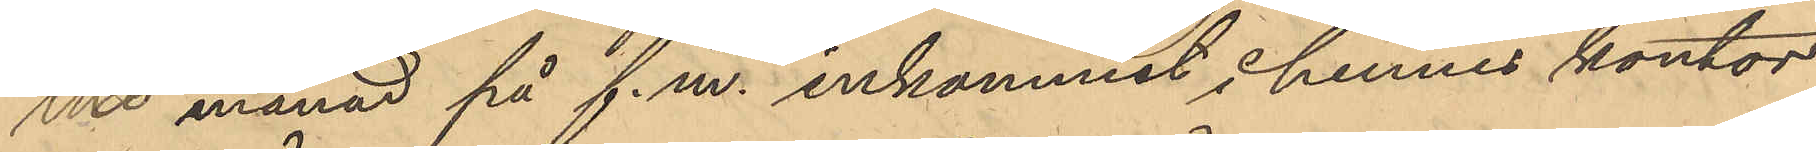ma månad på f.m. inkommit i hennes kontor
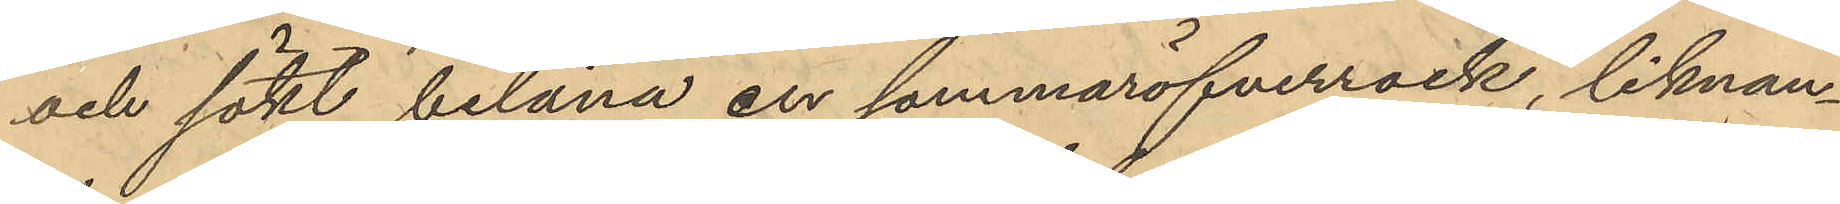och sökt belåna en sommaröfverrock, liknan¬
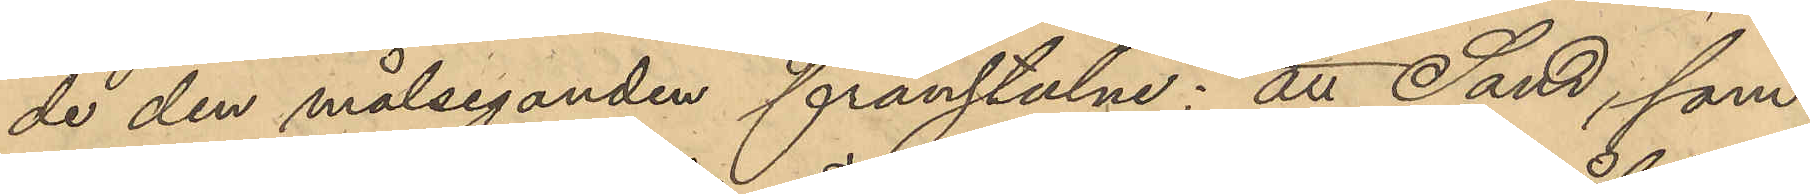de den målseganden frånstulne; att Sand, som
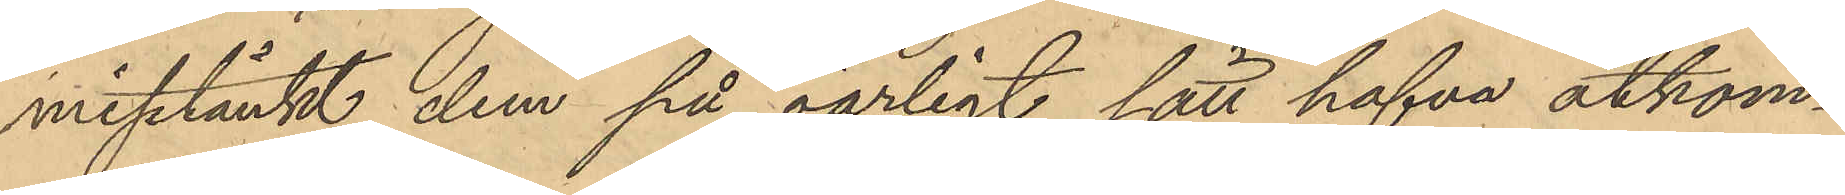misstänkt dem på oärligt sätt hafva åtkom¬
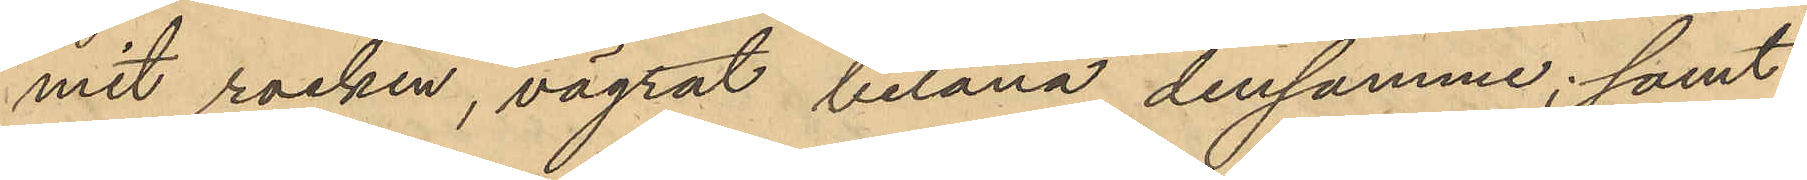mit rocken, vägrat belåna densamma; samt
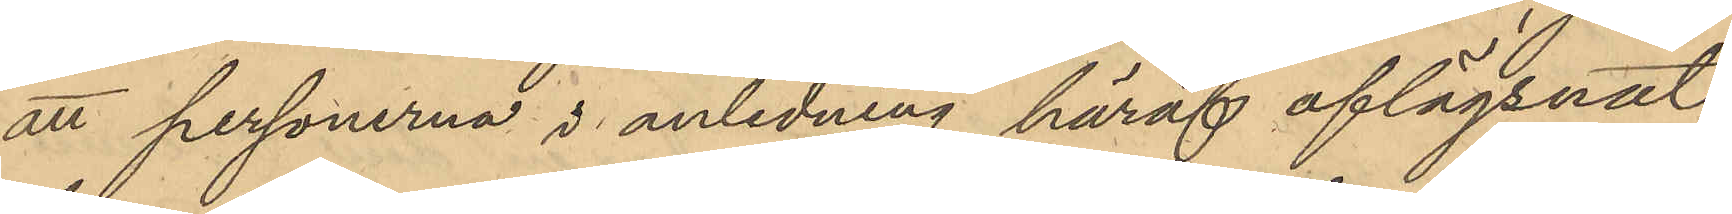att personerna i anledning häraf aflägsnat
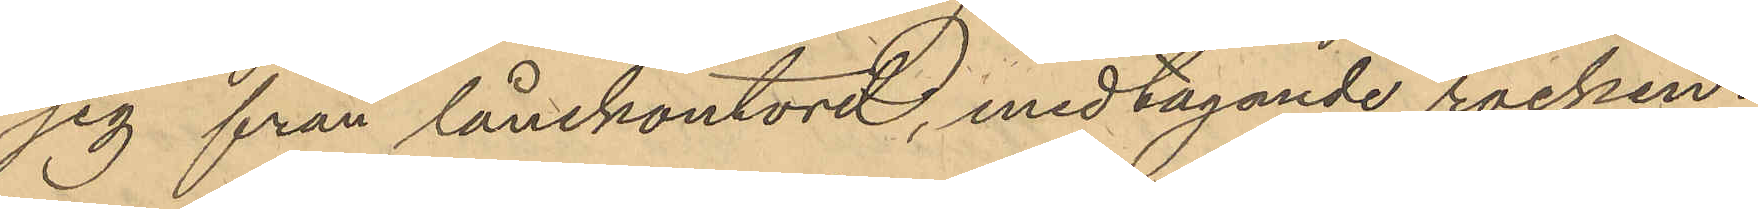sig från lånekontoret, medtagande rocken.
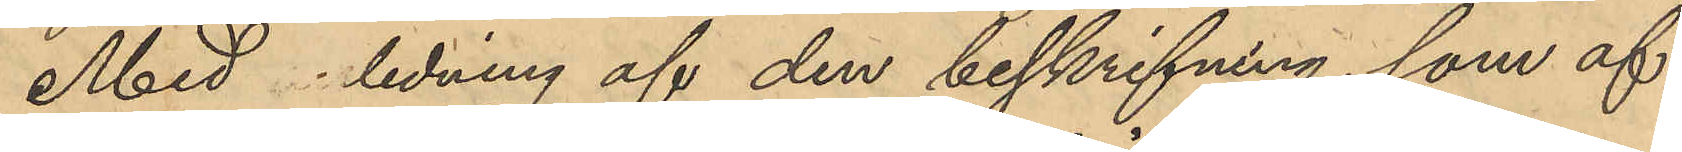Med ledning af den beskrifning, som af
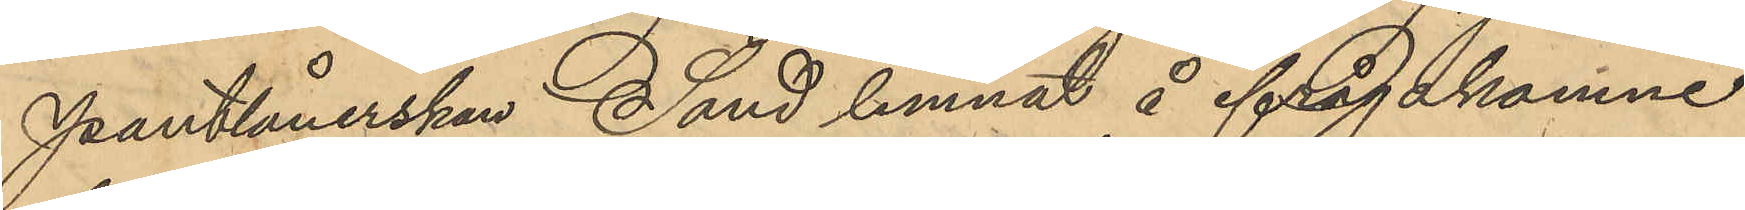Pantlånerskan Sand lemnat å ifrågakomne
